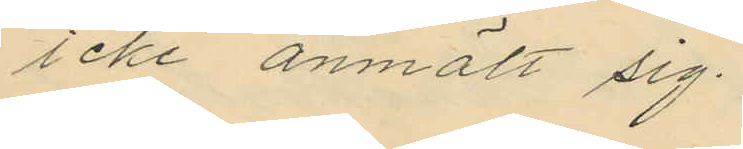icke anmält sig.
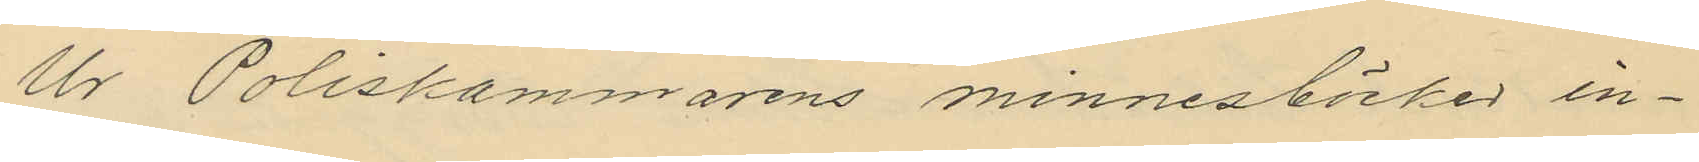Ur Poliskammarens minnesböcker in¬
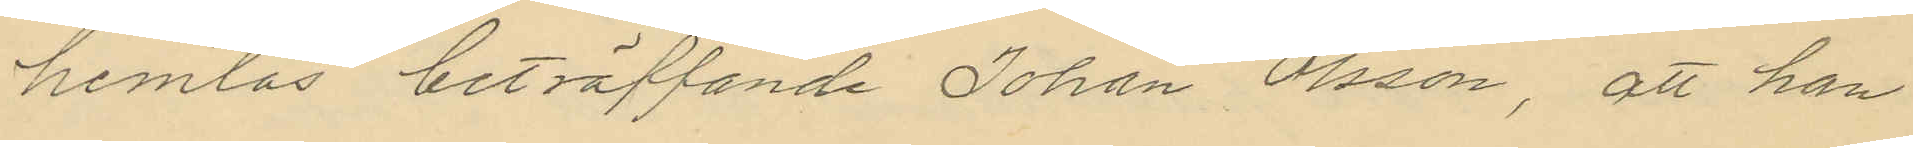hemtas beträffande Johan Olsson, att han
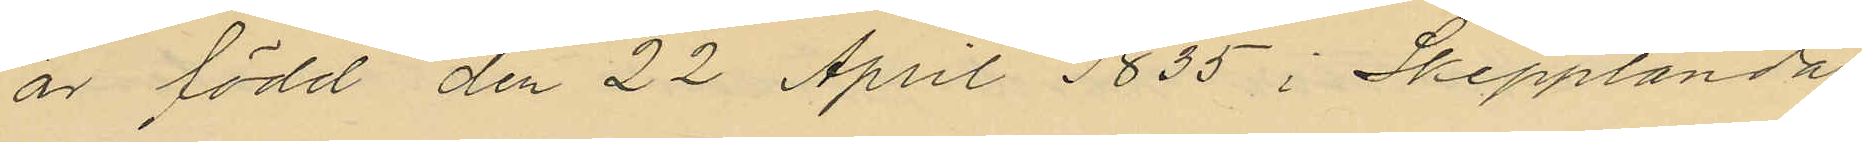är född den 22 April 1835 i Skepplanda
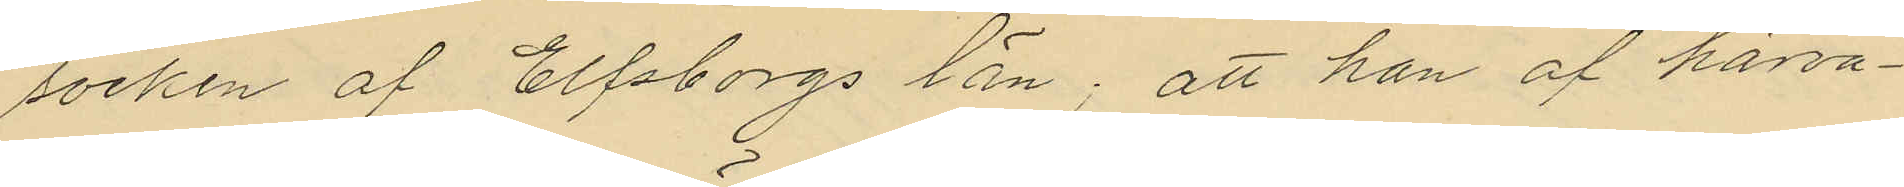socken af Elfsborgs län; att han af härva¬
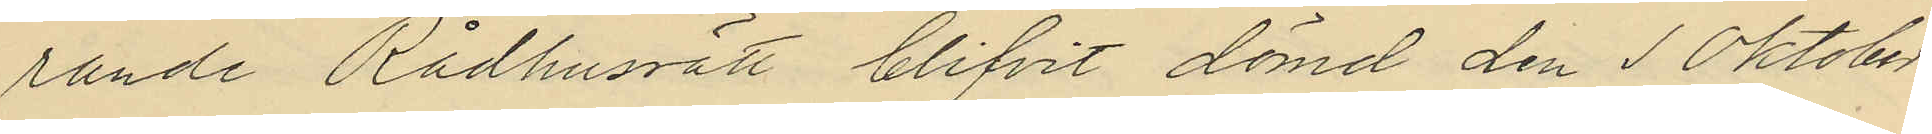rande Rådhussätt blifvit dömd den 1 Oktober
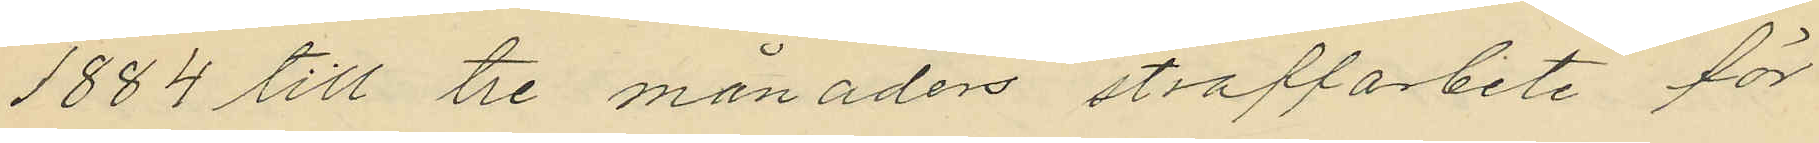1884 till tre månaders straffarbete för
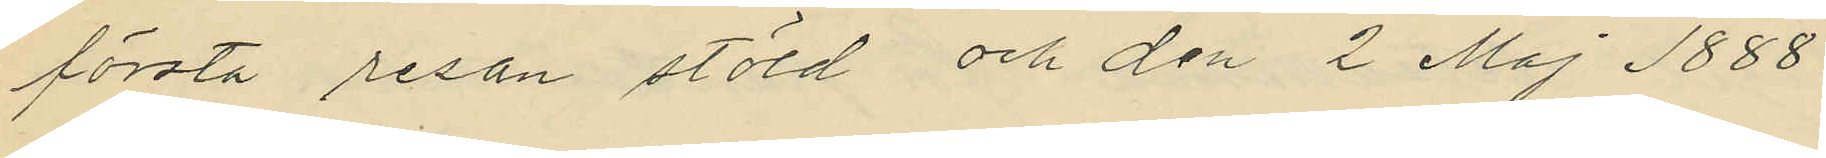första resan stöld och den 2 Maj 1888
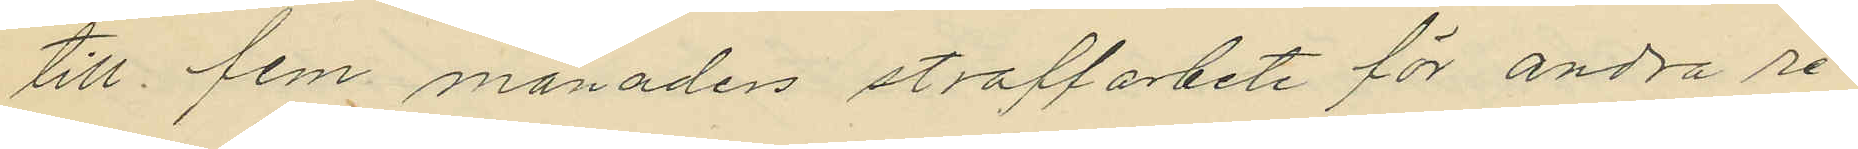till fem. månaders straffarbete för andra re¬
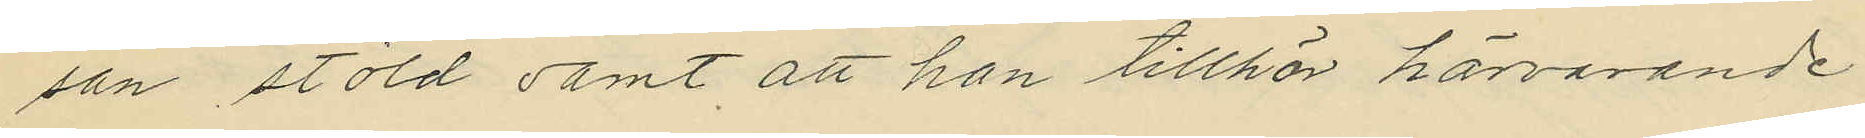san stöld samt att han tillhör härvarande
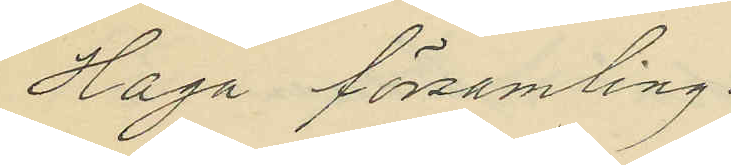Haga församling.
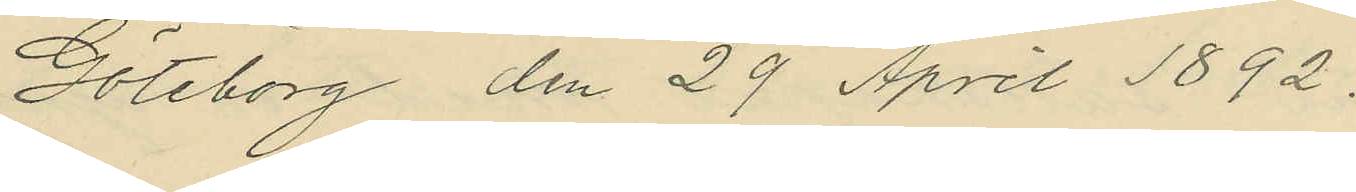Göteborg den 29 April 1892.
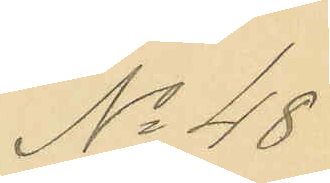No 48
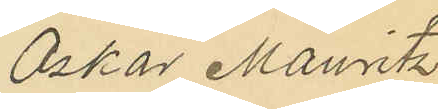Oskar Mauritz
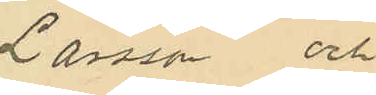Larsson och
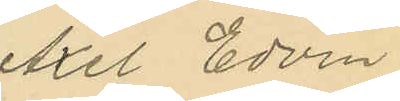Axel Edvin
